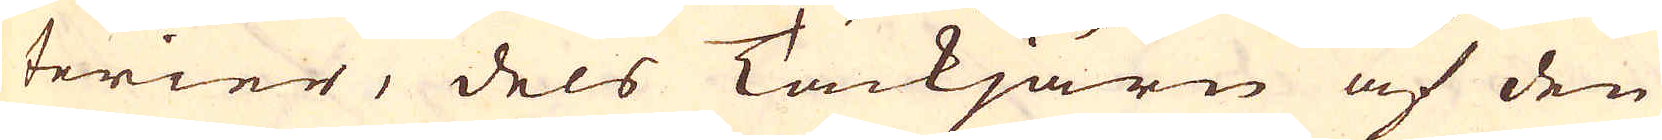terier, dels Tackjärn af den
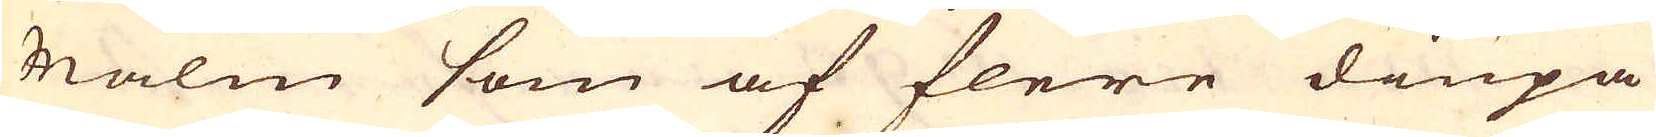Malm som af flere diupa
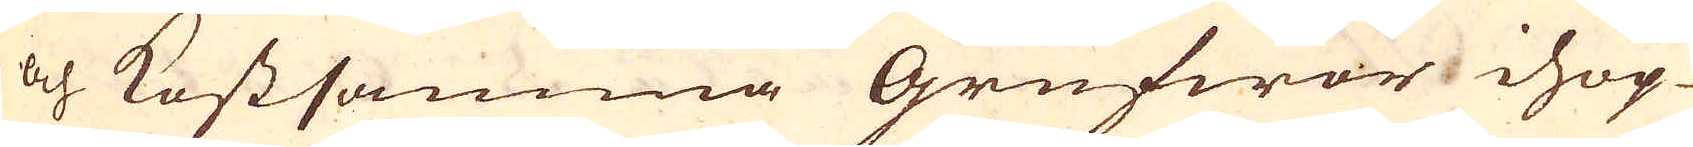och Kostsamma Grufwor ihop-
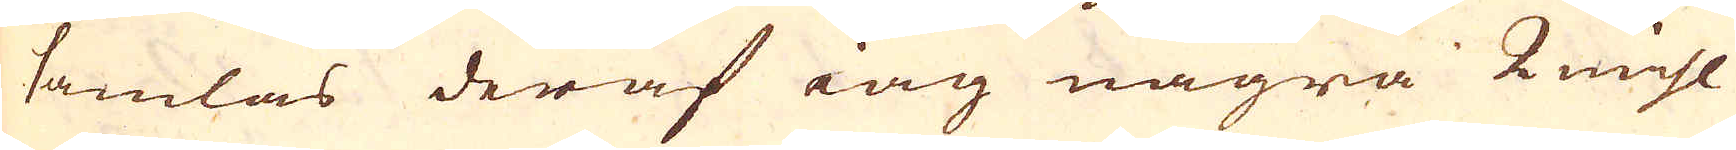samlas deraf iag några 2 mihl
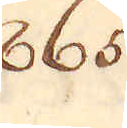865.
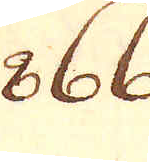866.
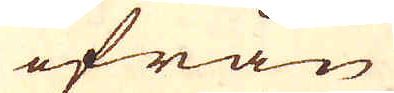ifrån
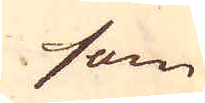som
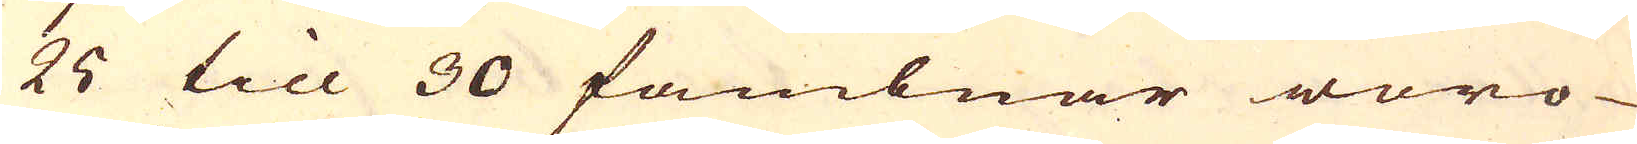25 till 30 fambnar wor-
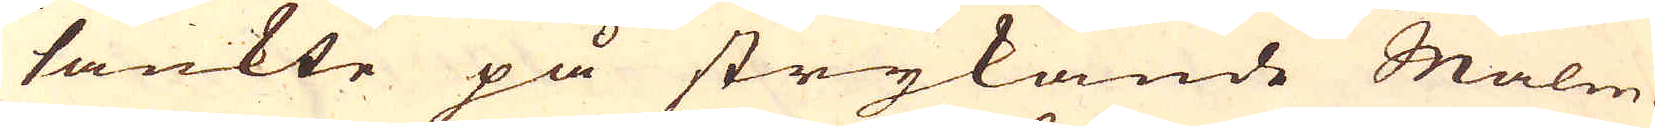sänkte på strykande Malm-
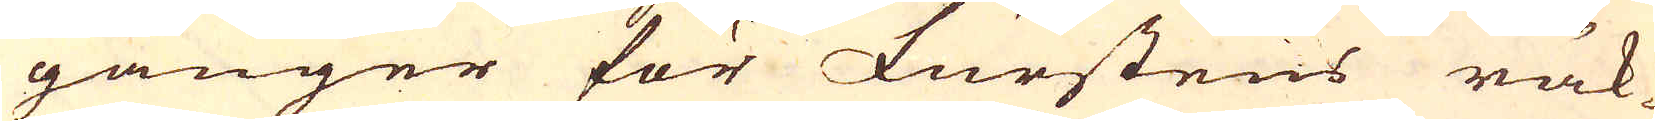gånger för Furstens räk-
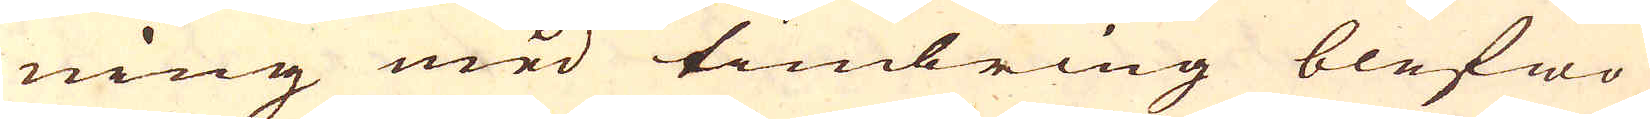ning med timbring blefwo
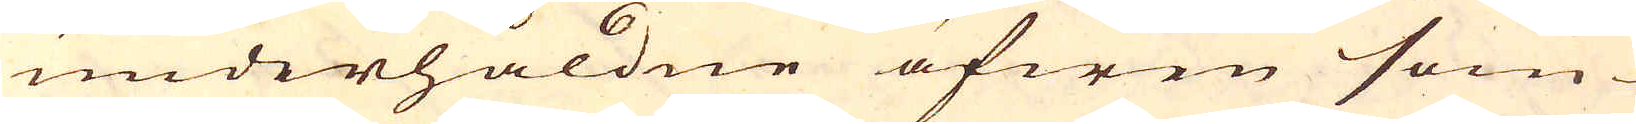underhåldne äfwen som
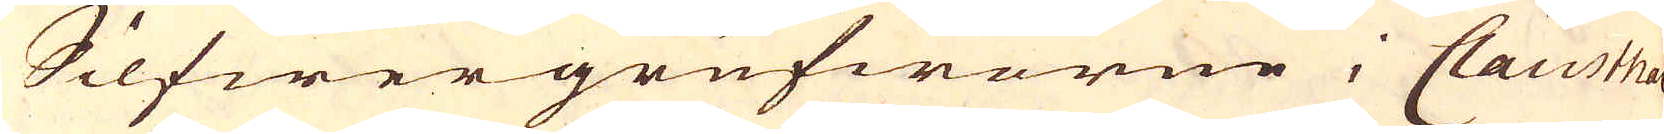Silfwergrufworne i Clausthal
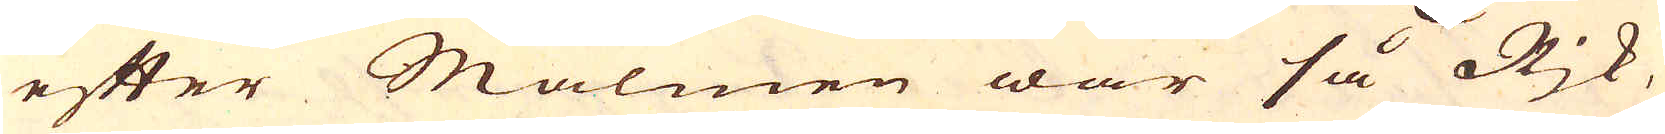efter Malmen war så Rjk,
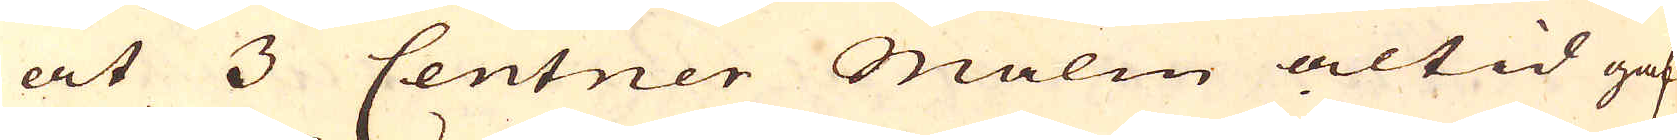at 3 Centner Malm altid gaf
